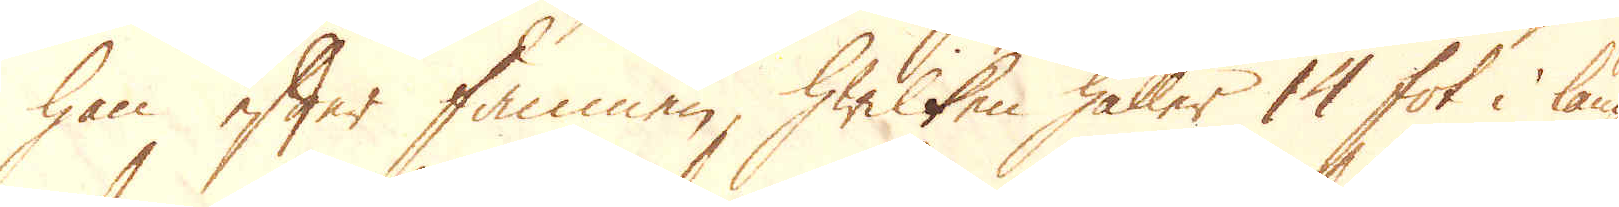han efter famnen, hwilken håller 14 fot i läng-
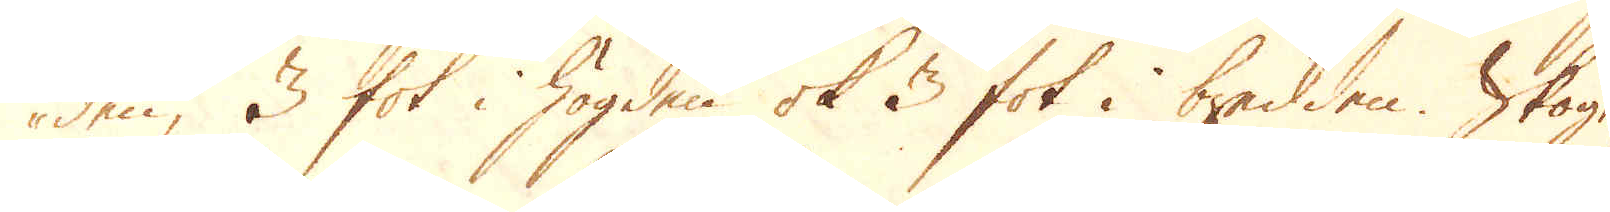den, 3 fot i högden ok 3 fot i bredden. Skogen
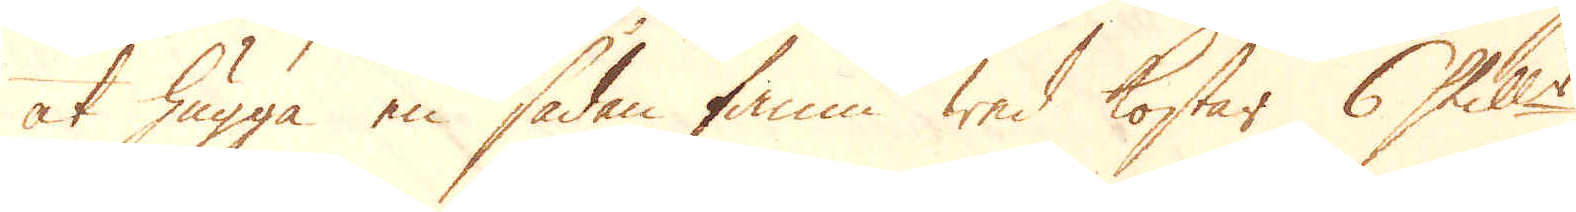at hugga en sådan famn wed kostar 6 Skill:r
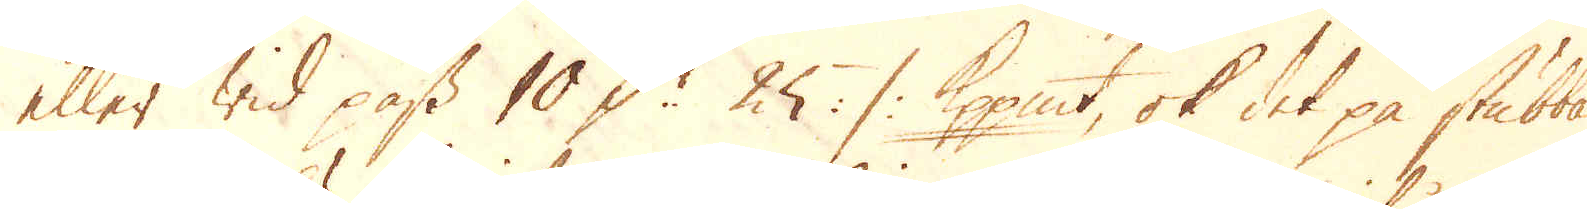eller wid pass 10 D:r 25 :/: Kpp:mt, ok det på stubban.
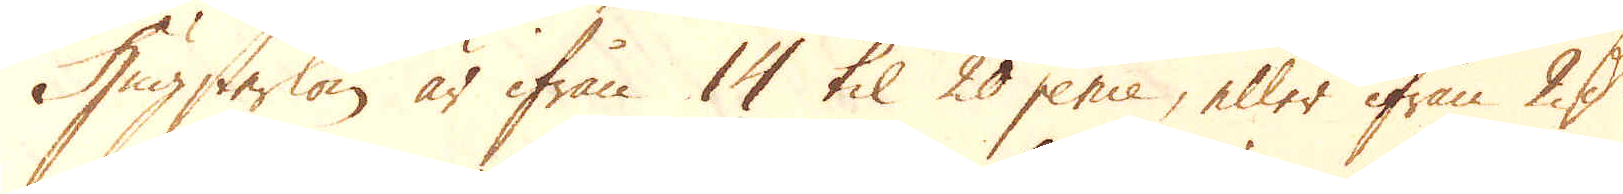Hugstarlön är ifrån 14 til 20 pence, eller ifrån 2 D:r
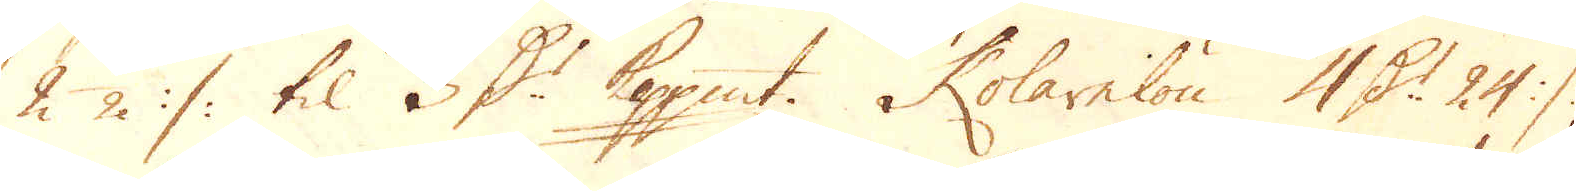2 1/2 :/: til 3 D:r Kopp:mt. Kolarelön 4 D:r 24 :/:,
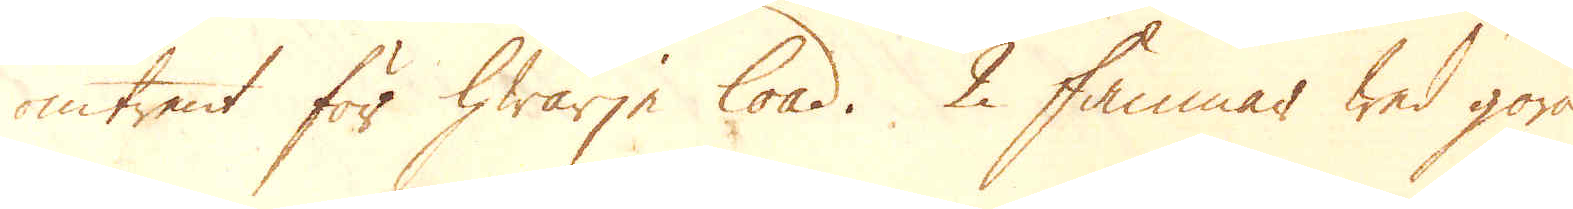omtrent för hwarje load. 2 famnar wed göra
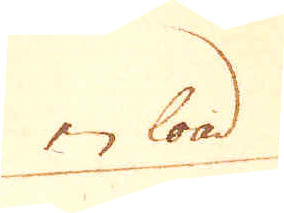en load
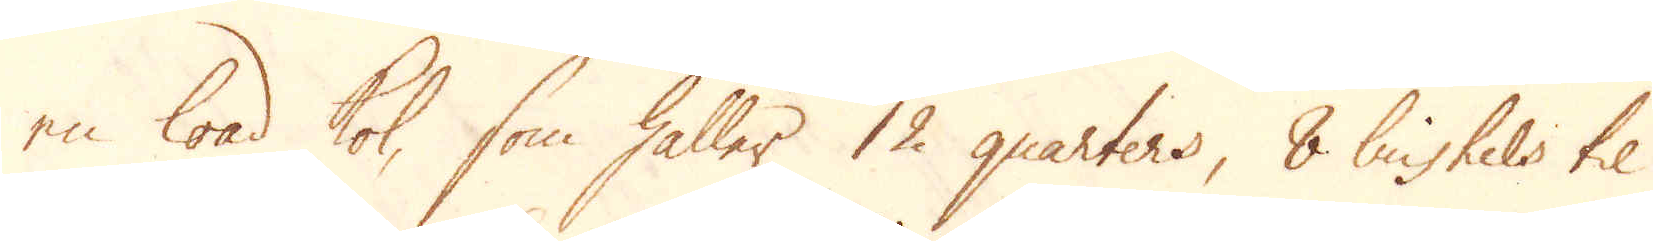en load kol, som håller 12 quarters, 8 bushels til
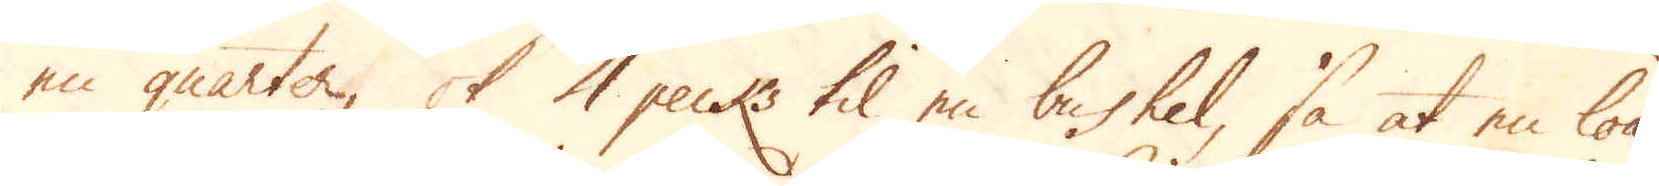en quarter, ok 4 pecks til en bushel, så at en load
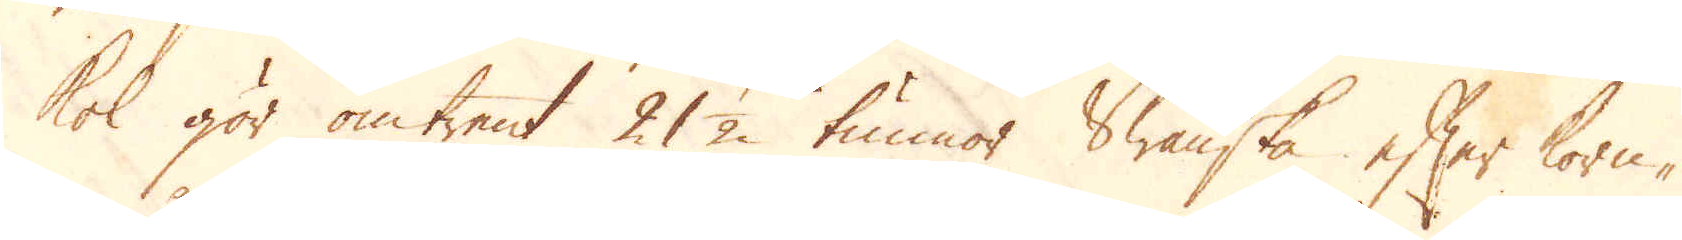kol gör omtrent 21 1/2 tunnor Swänska efter korn-
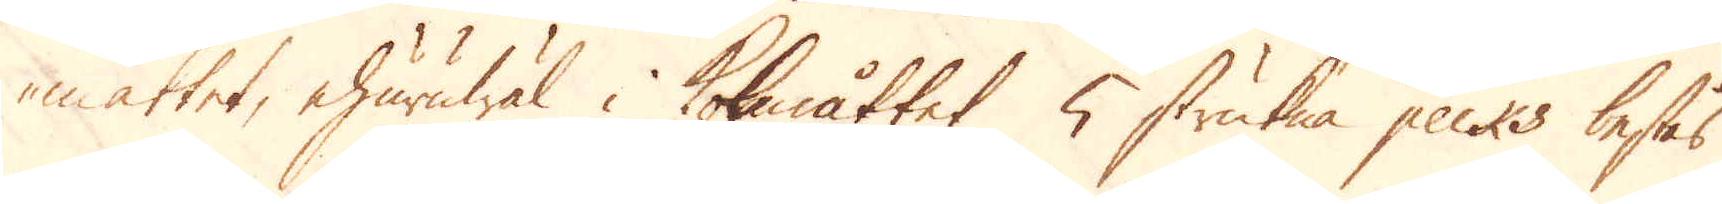måttet, ehuruwäl i kolemåttet 5 strukna pecks bestås
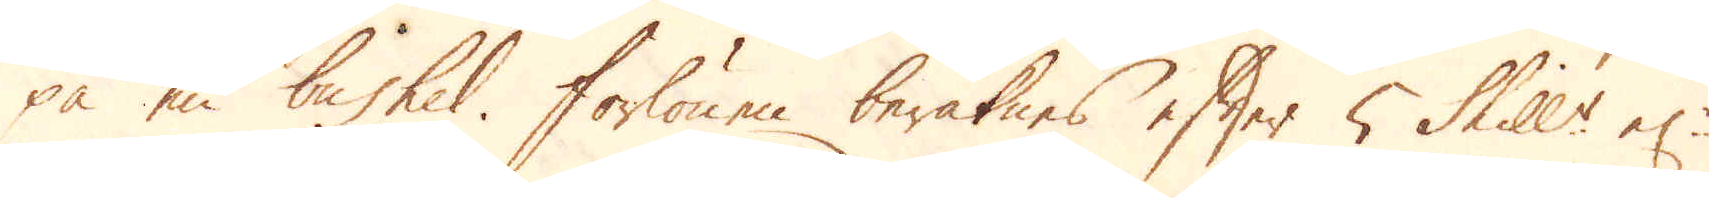på en bushel. Forlönen beräknes efter 5 Skill:r el:r
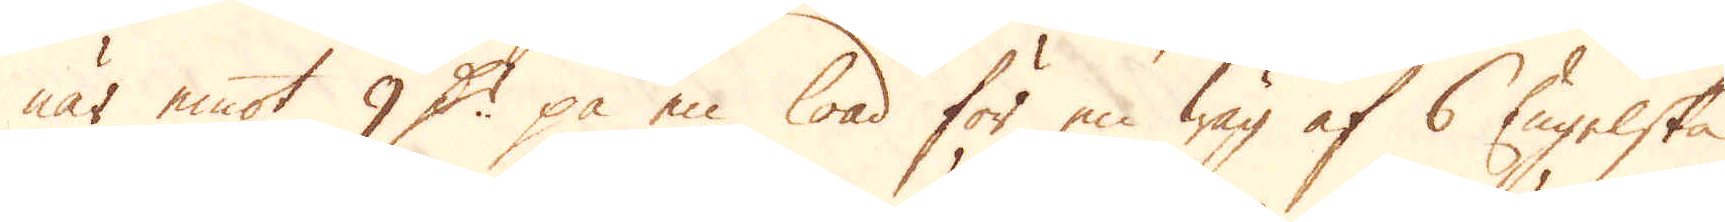när emot 9 D:r på en load för en wäg af 6 Engelska
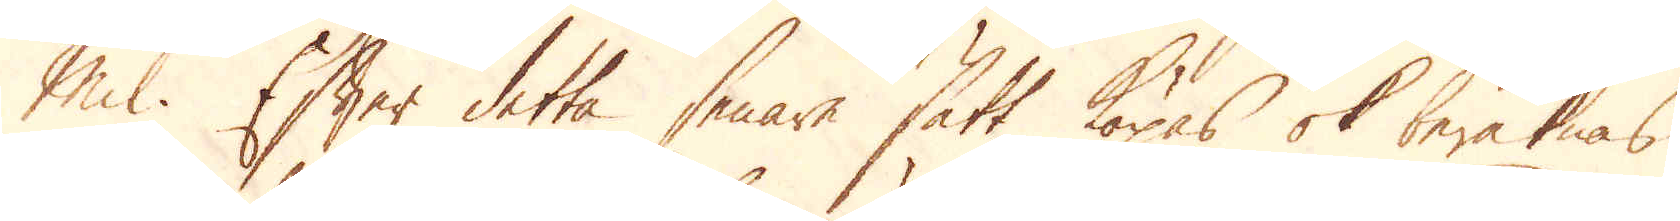Mil. Efter detta senare sätt köpas ok beräknas
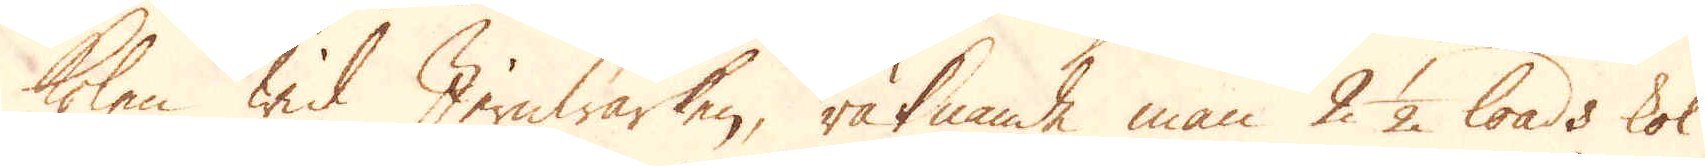kolen wid Jernwärken, räknande man 2 1/2 loads kol
